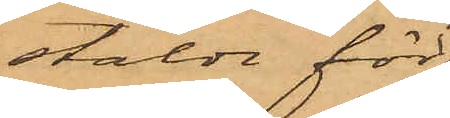stälde för¬
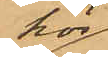hör
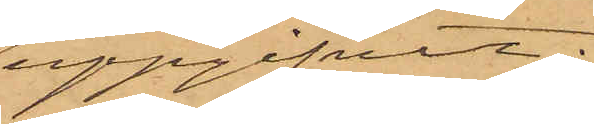uppgifvit:
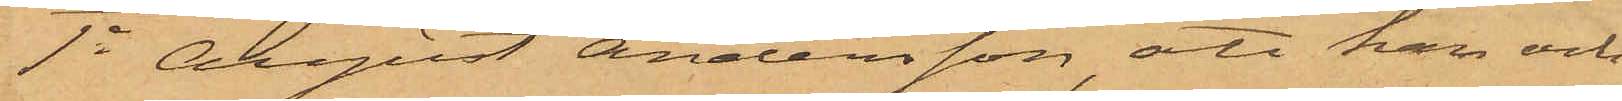1o August Andersson, att han och
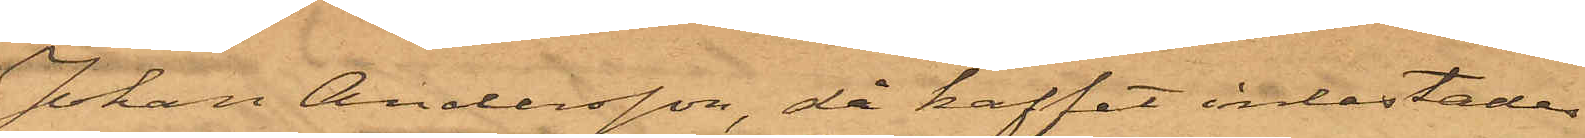Johan Andersson, då kaffet inlastades
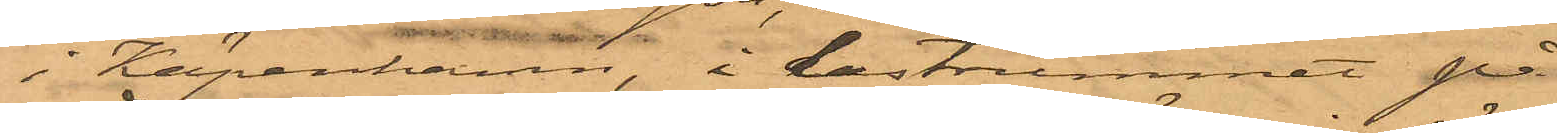i Köpenhamn, i lastrummet på
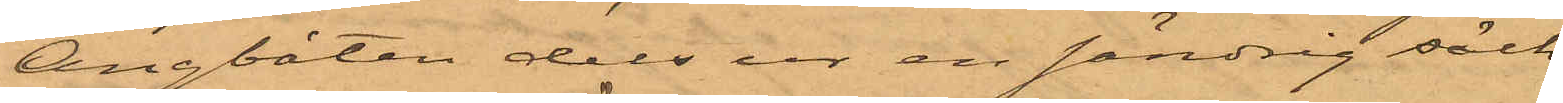Ångbåten dels ur en söndrig säck
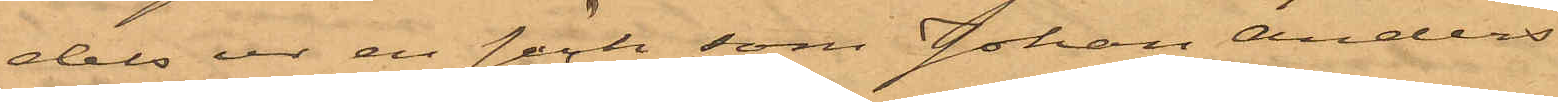dels ur en säck som Johan Anders¬
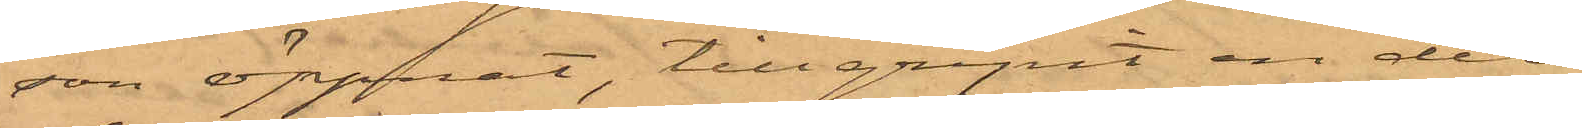son öppnat, tillgripit en del
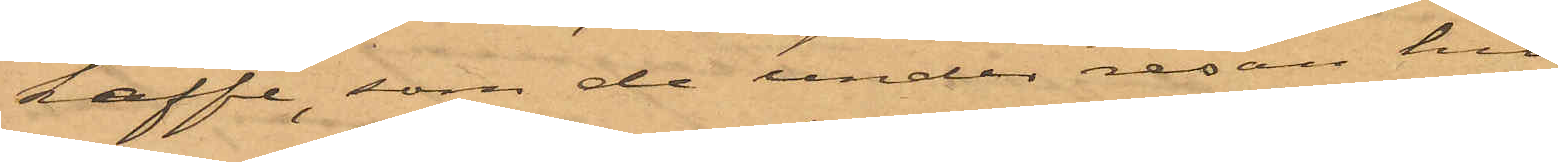kaffe, som de under resan hit
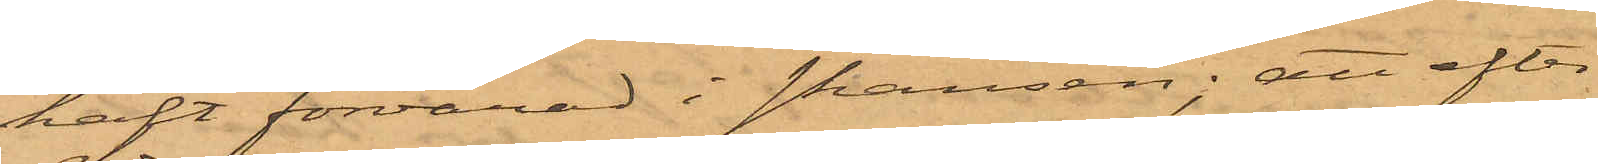haft förvarad i skansen; att efter
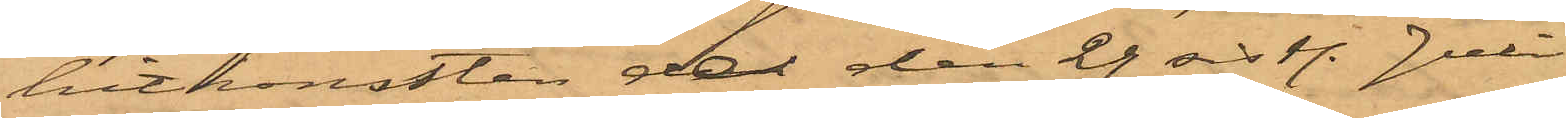hitkomsten de den 29 sist. Juli
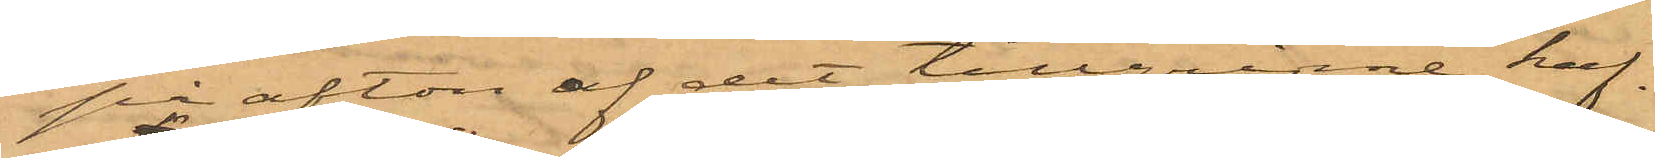på afton af det tillgripne kaf¬
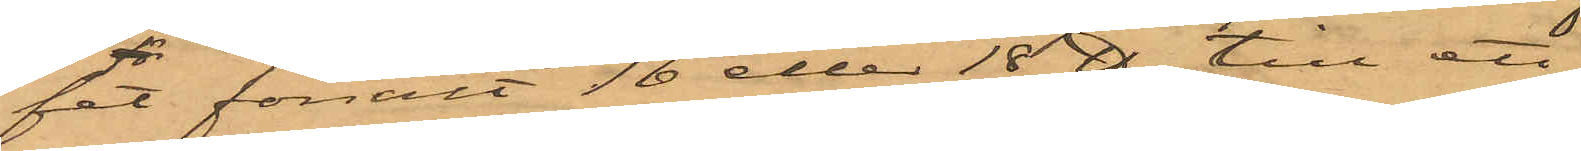fet försålt 16 eller 18 ℔ till ett
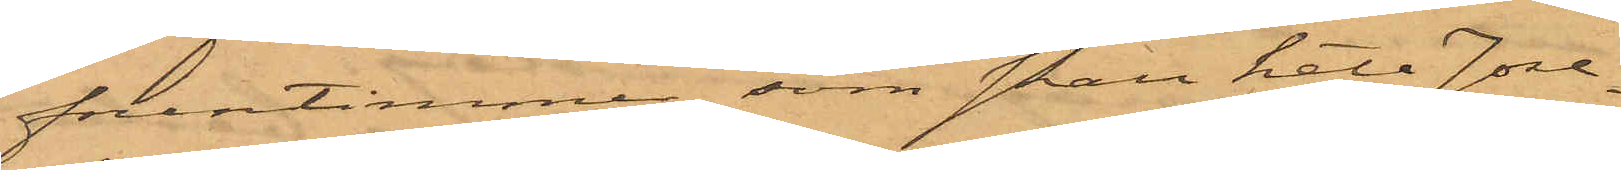fruntimmer, som skall heta Jose¬
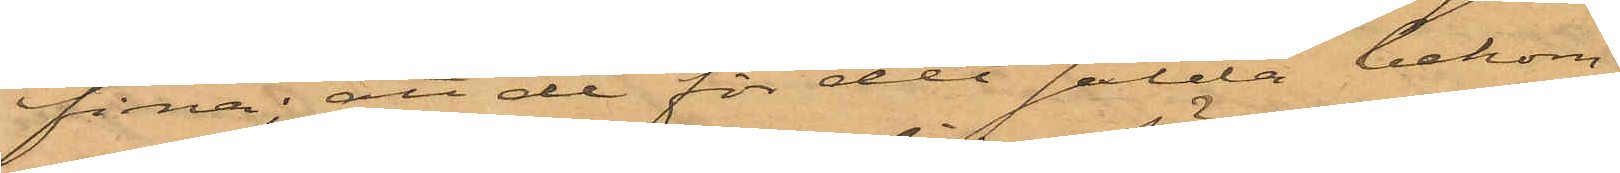fina; att de för det sålda bekom¬
